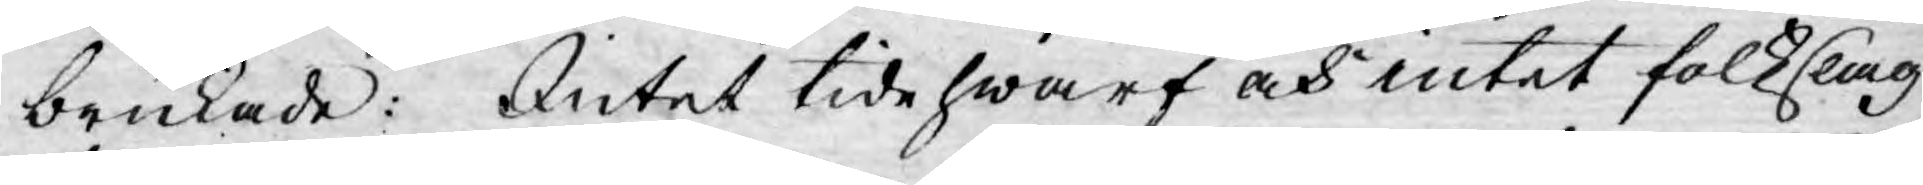brukade: intet tidehwarf och intet folkslag
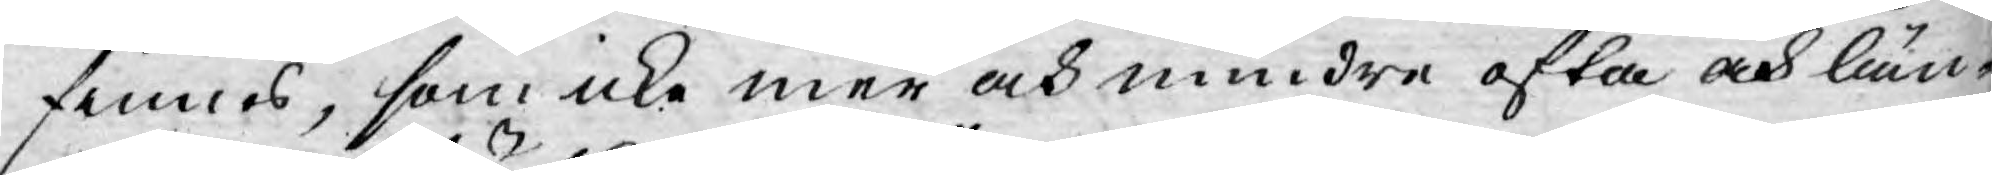finnes, som icke mer och mindre ofta och län¬
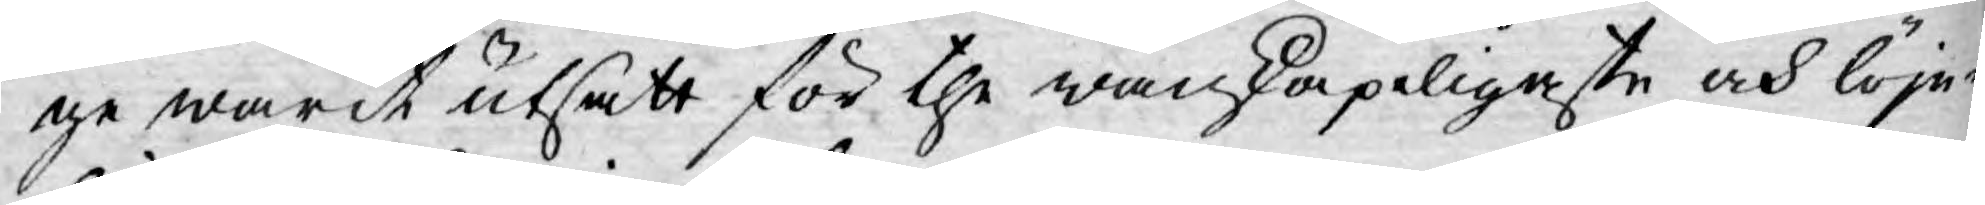ge warit utsatt för the wanskapeligaste och löje¬
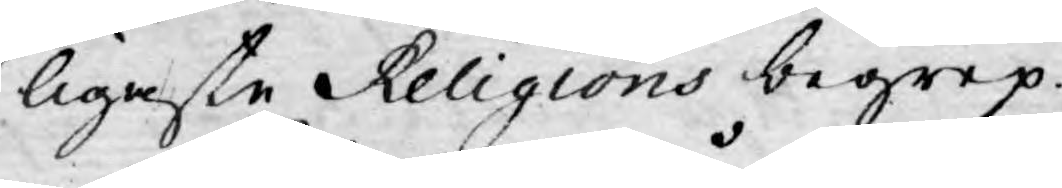ligaste Religions begrep.
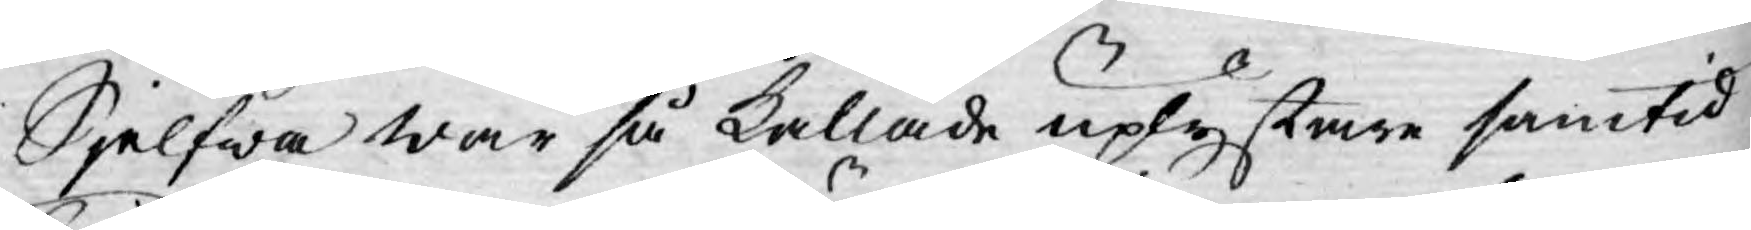Sjelfwa wår så kallade uplystare samtid
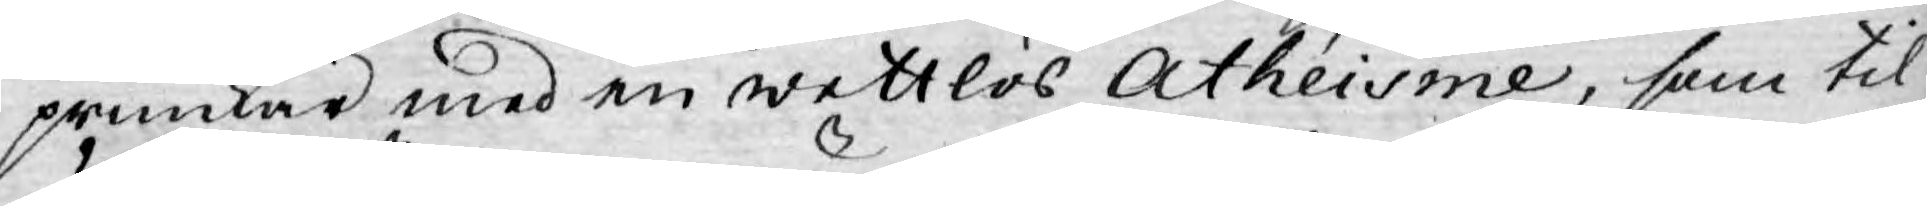prunkar med en wettlös Athéisme, som til
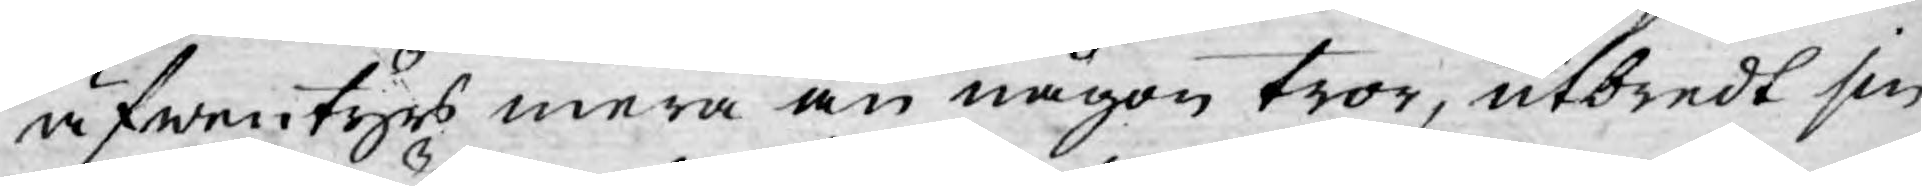äfwentyrs mera än någon tror, utbredt sin
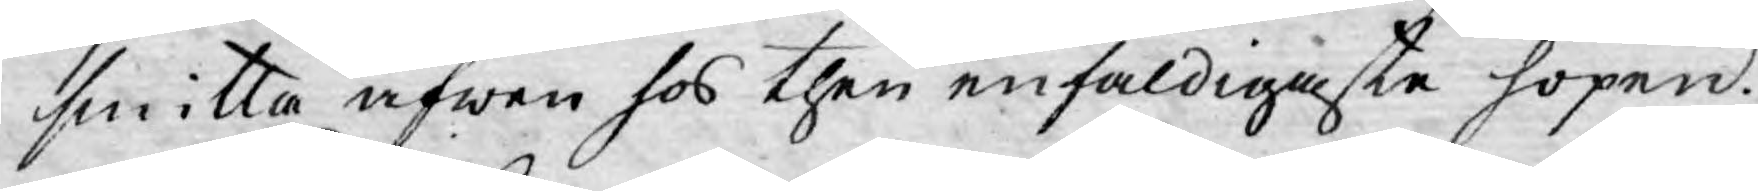smitta äfwen hos then enfaldigaste hopen.
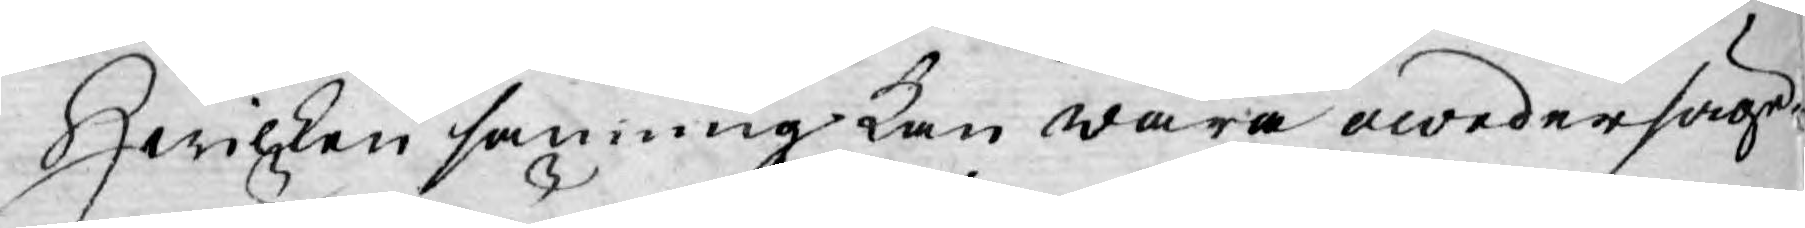Hwilken sanning kan wara owedersäge¬
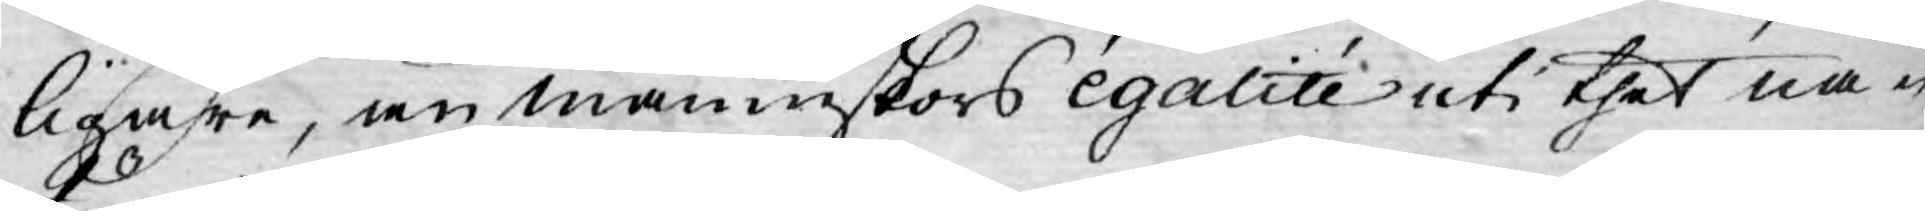ligare, än männeskors égalité uti thet na-
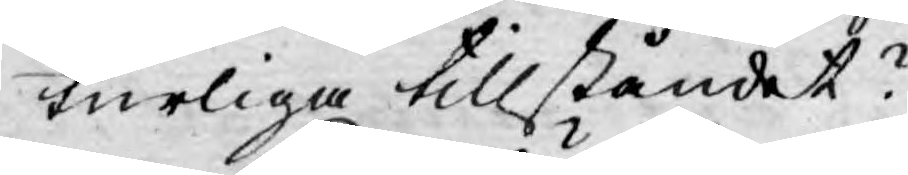turliga tillståndet?
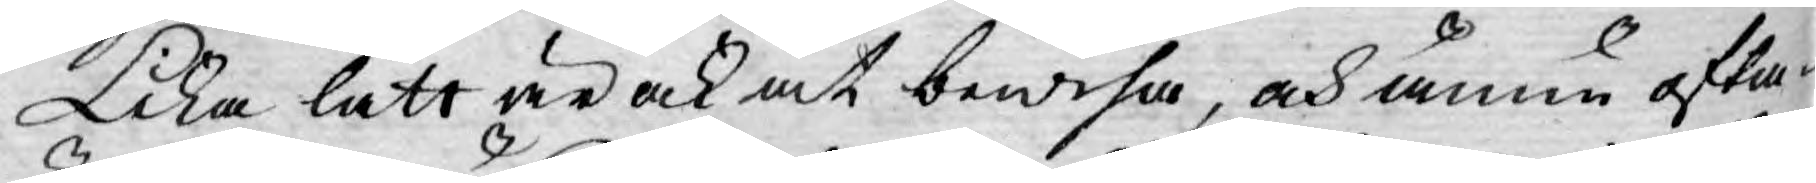Lika lätt är ock at bewisa, och ännu ofta¬
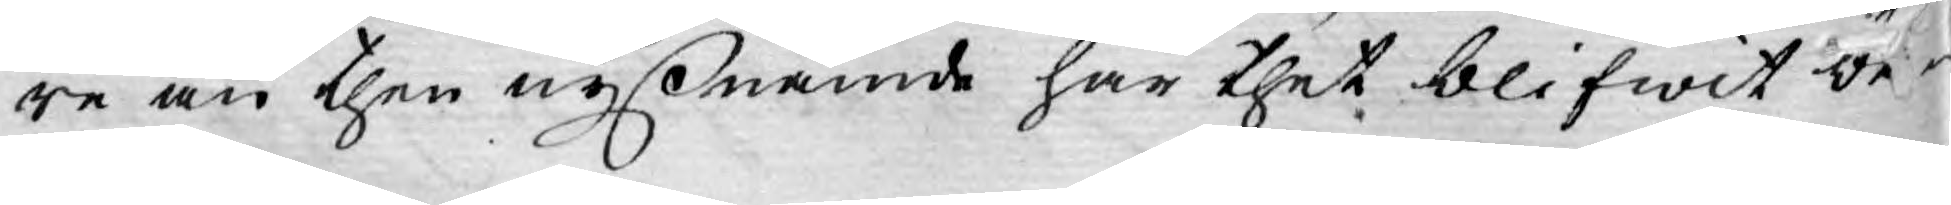re än then nyßnämde har thet blifwit be¬
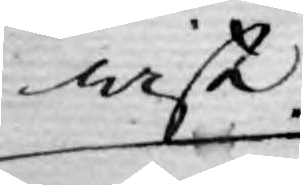wist
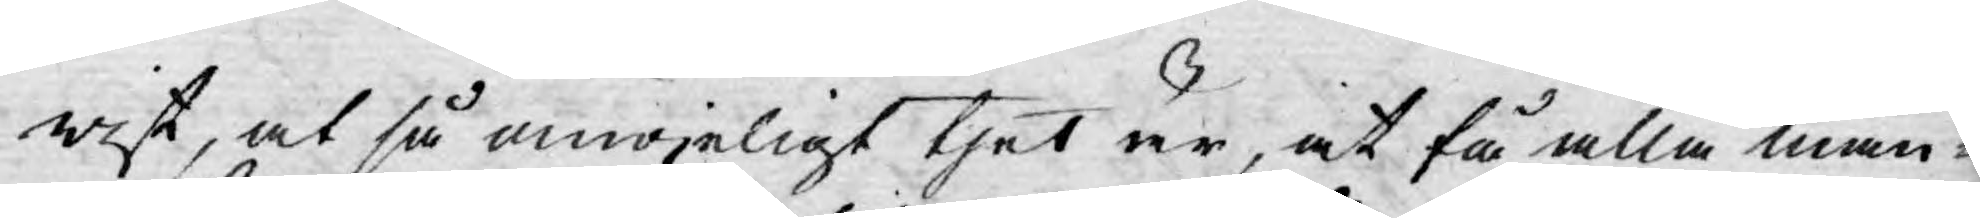wist, at så omöjeligt thet är, at få alla män¬
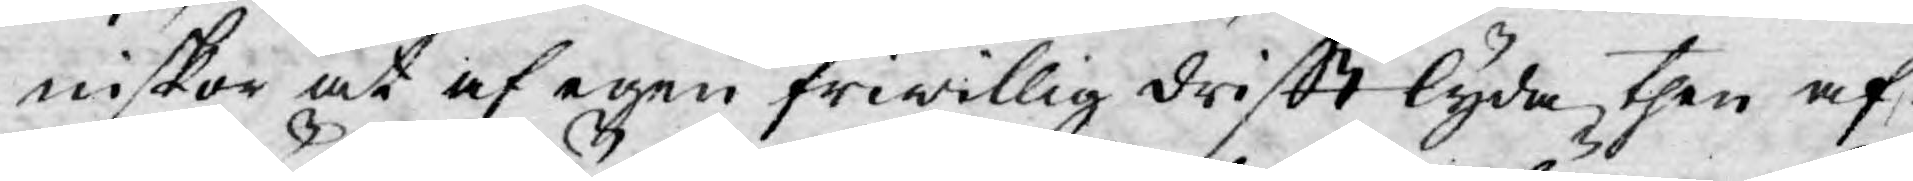niskor at af egen friwillig drifft lyda then af
